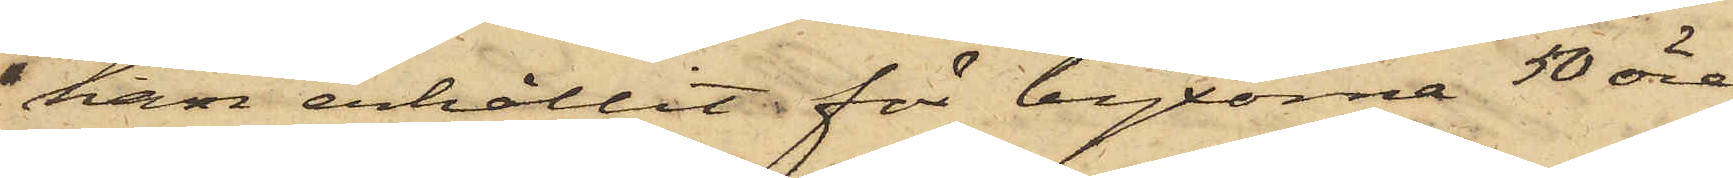han erhållit för byxorna 50 öre
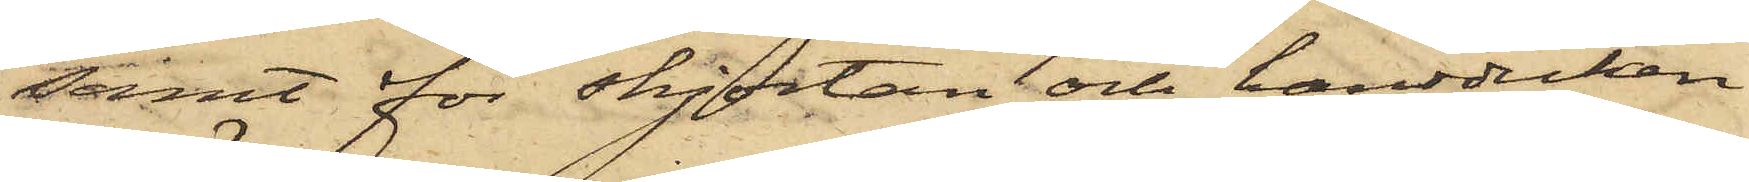samt för skjortan och handduken
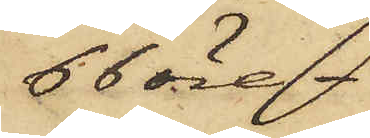66 öre.
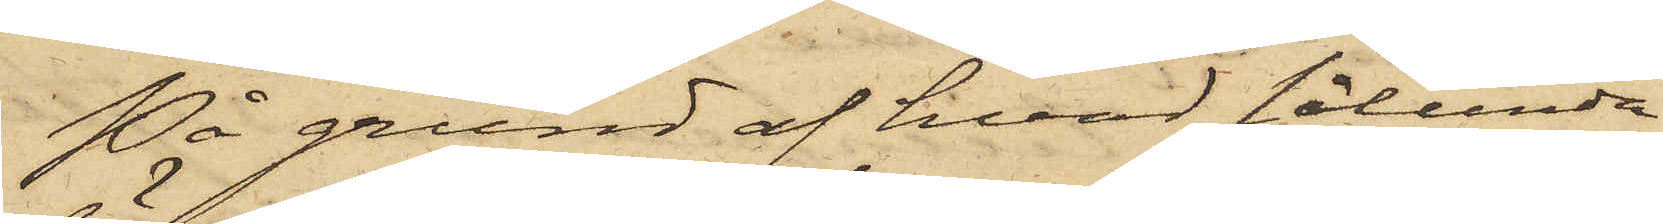På grund af hvad sålunda
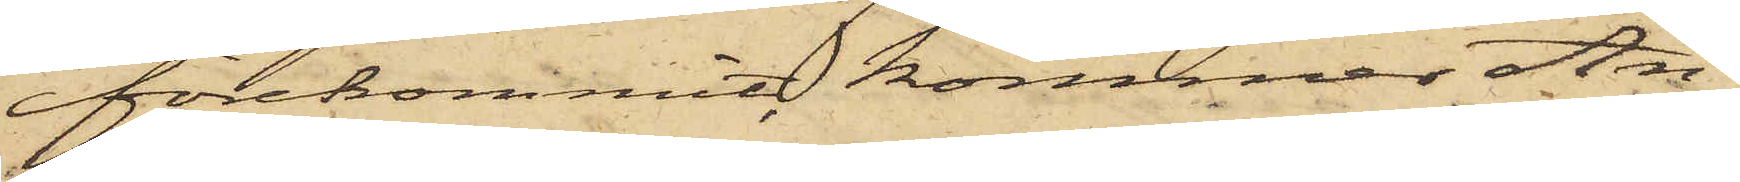förekommit, kommer An¬
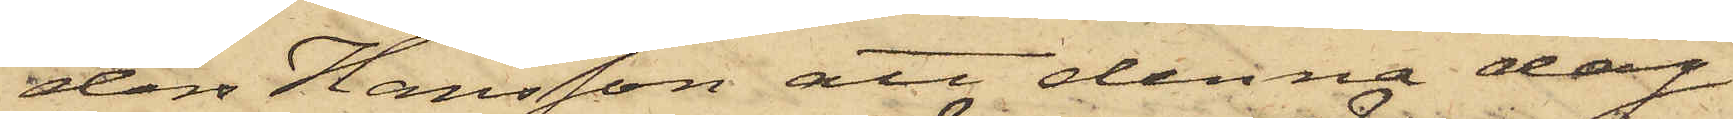ders Hansson att denna dag
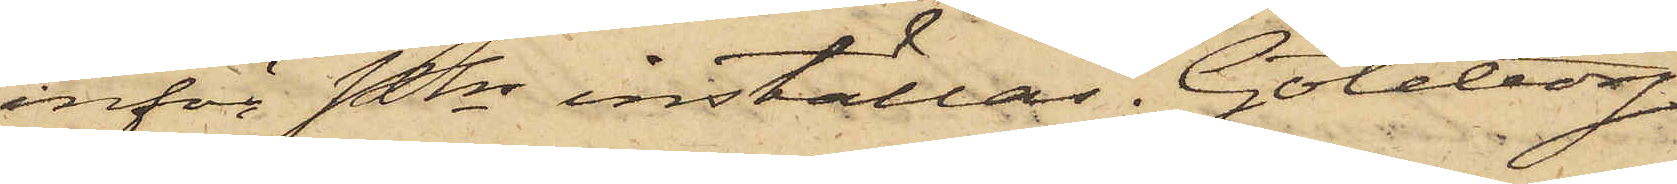inför Pkn inställas. Göteborg
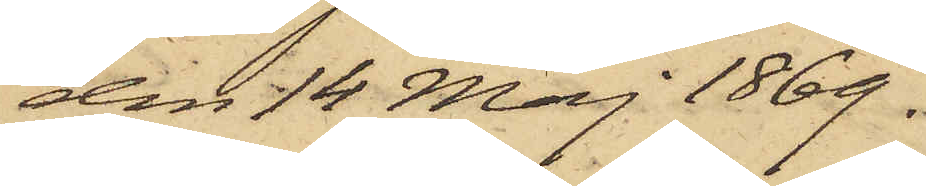den 14 Maj 1869.
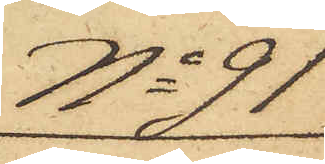No 91
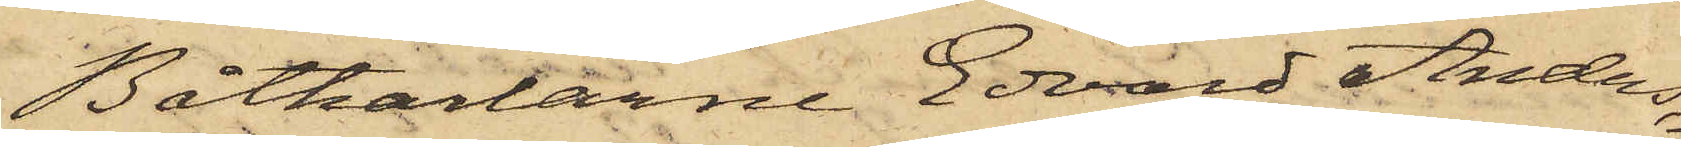Båtkarlarne Edvard Anders¬
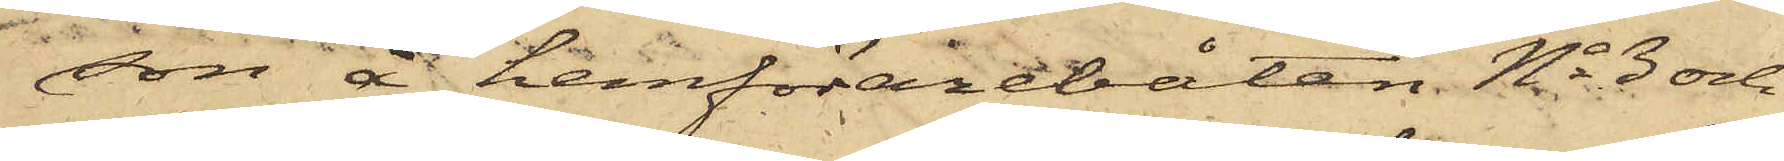son å hemförarebåten No 3 och
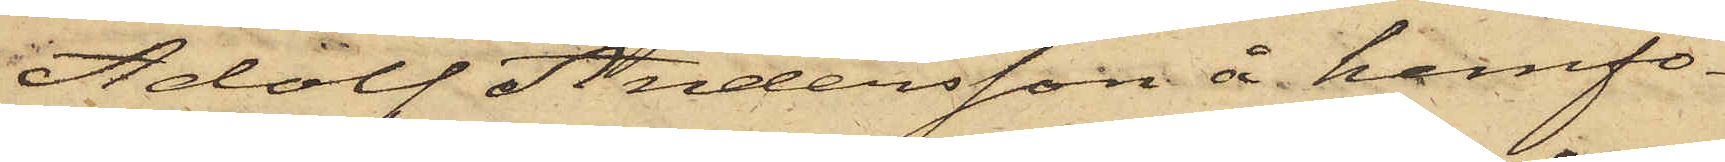Adolf Andersson å hemfö¬
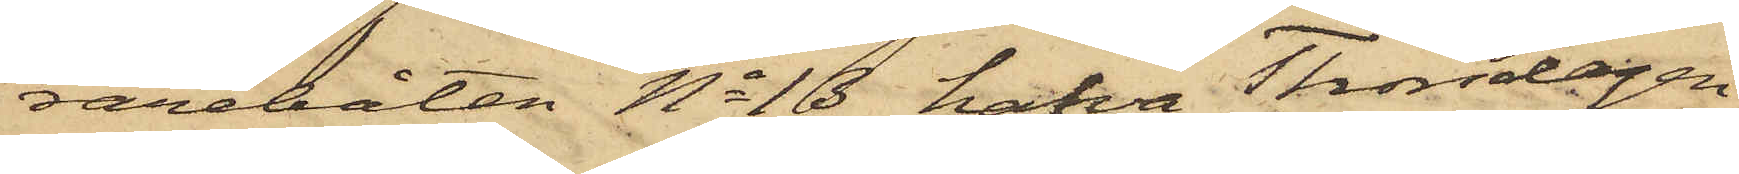rarebåten No 16 hafva Thorsdagen
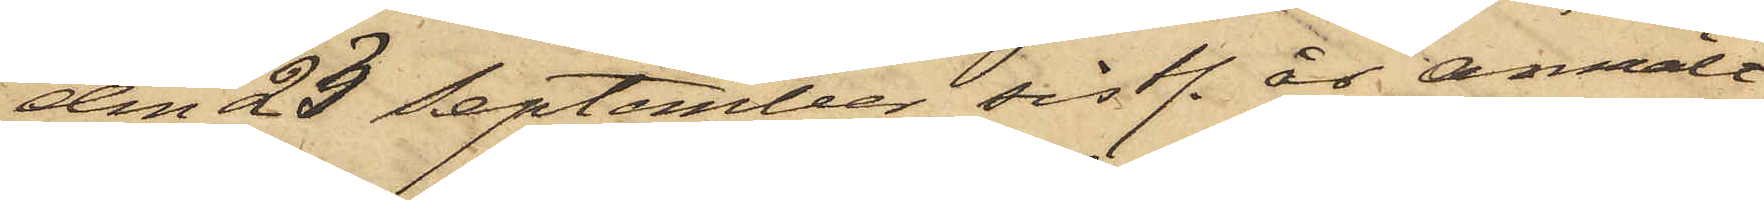den 23 September sistl. år anmält
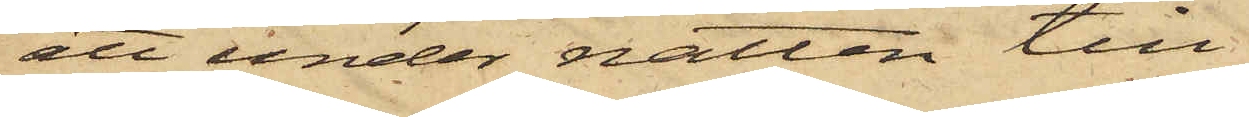att under natten till
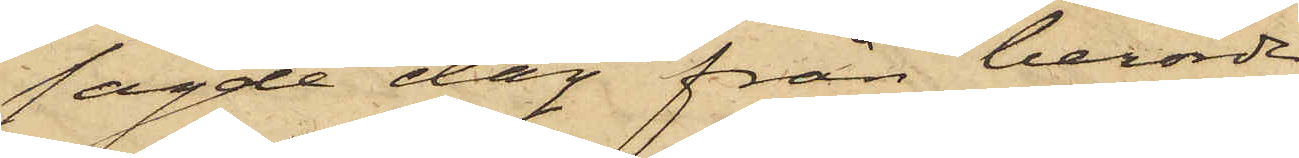sagde dag från berörde
